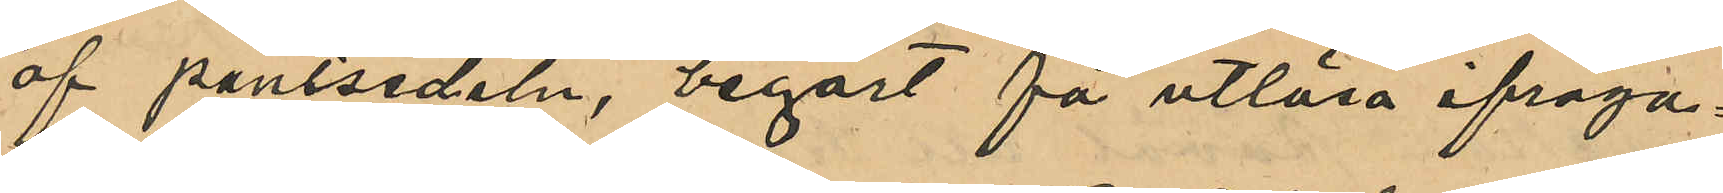af pantsedeln, begärt få utlösa ifråga¬
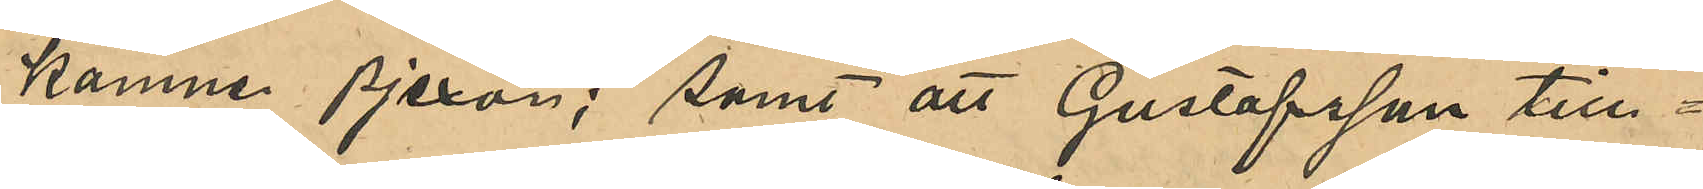komne pjexor; samt att Gustafsson till¬
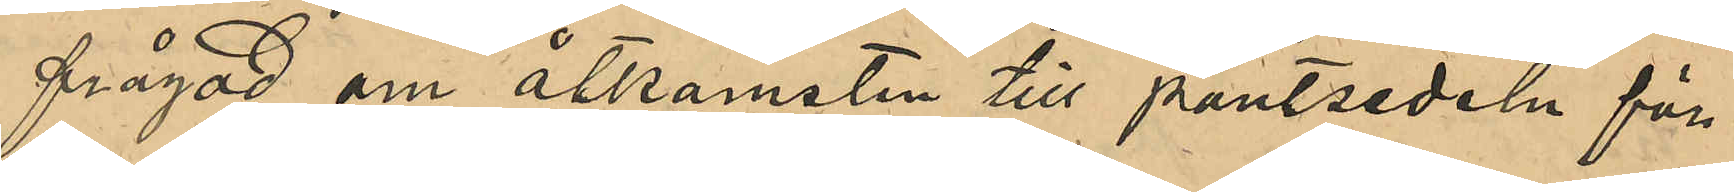frågad om åtkomsten till pantsedeln för¬
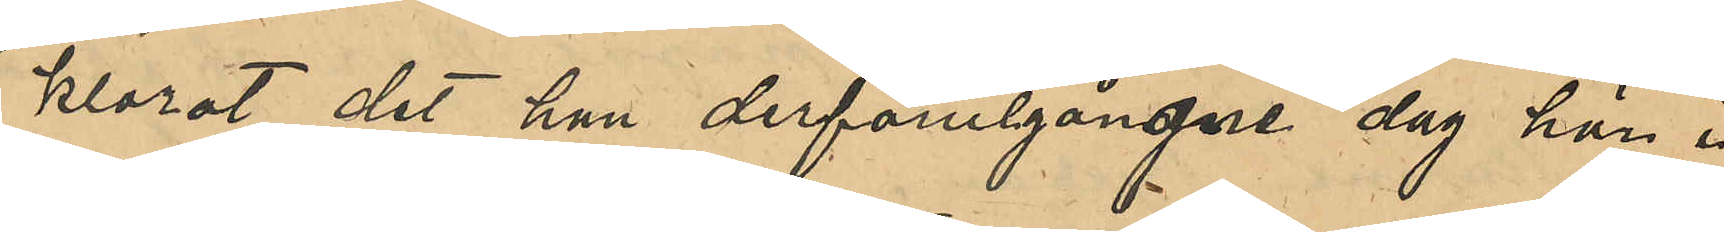klarat det han derförutgångne dag här i
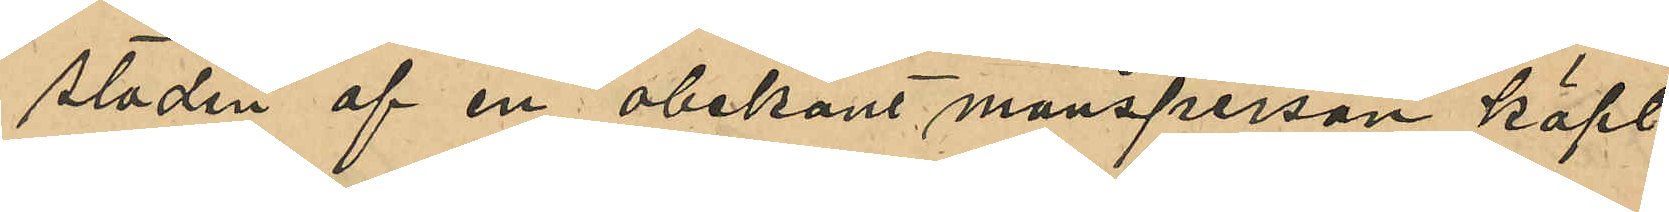staden af en obekant mansperson köpt
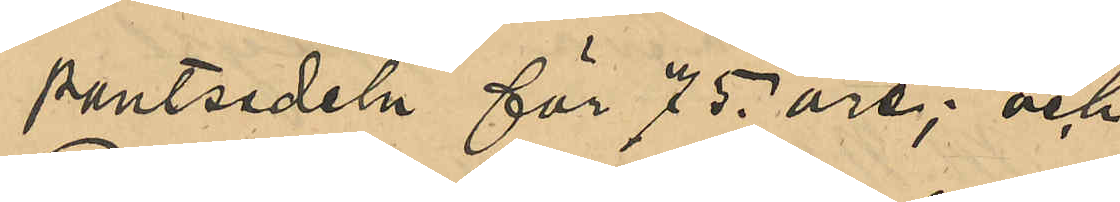pantsedeln för 75 öre; och
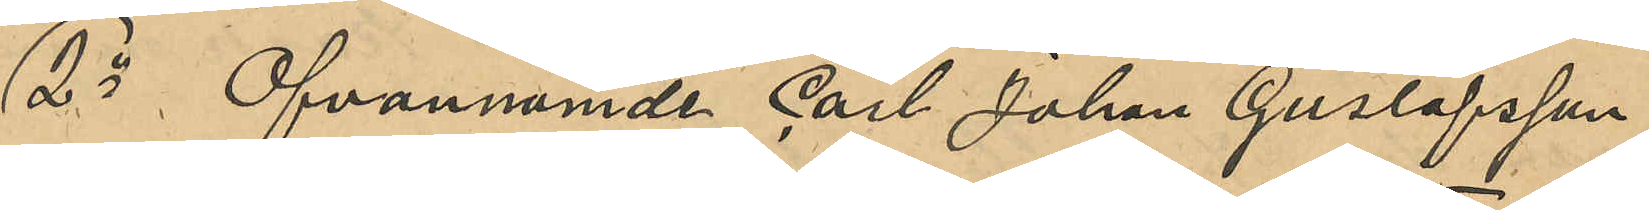2o Ofvannämnde Carl Johan Gustafsson,
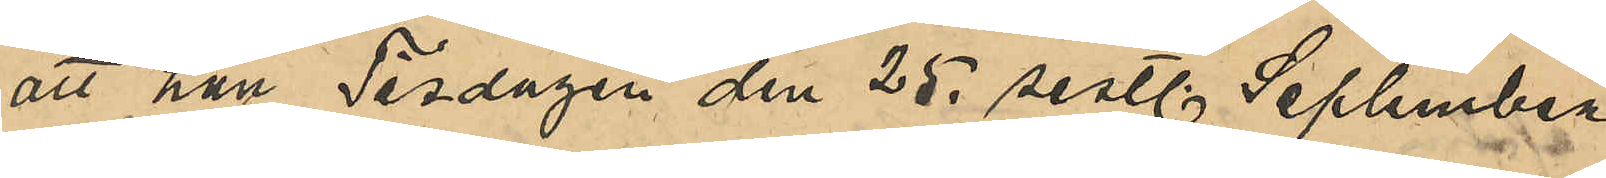att han Tisdagen den 25 sistl September
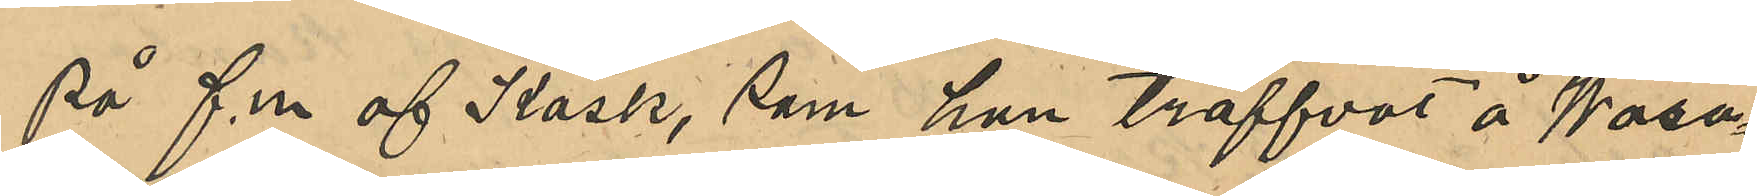på f.m af Kask, som han träffat å Wasa¬
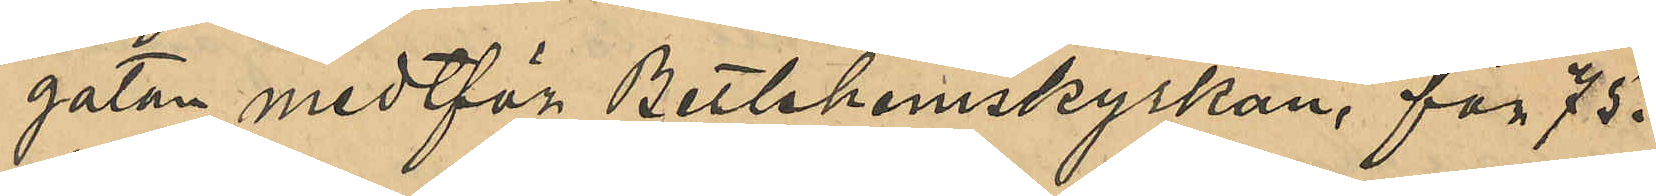gatan medtför Betlehemskyrkan, för 75.
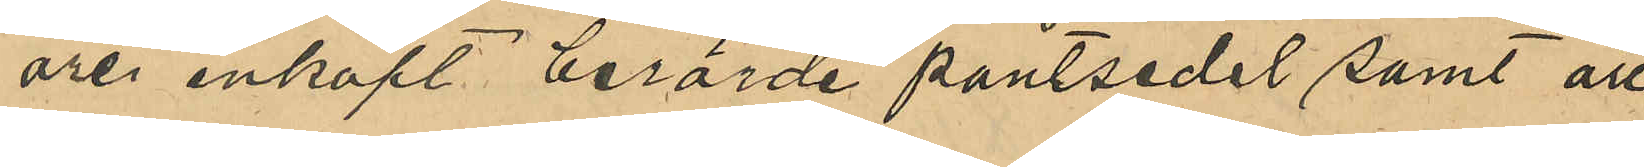öre inkopt berörde pantsedel samt att
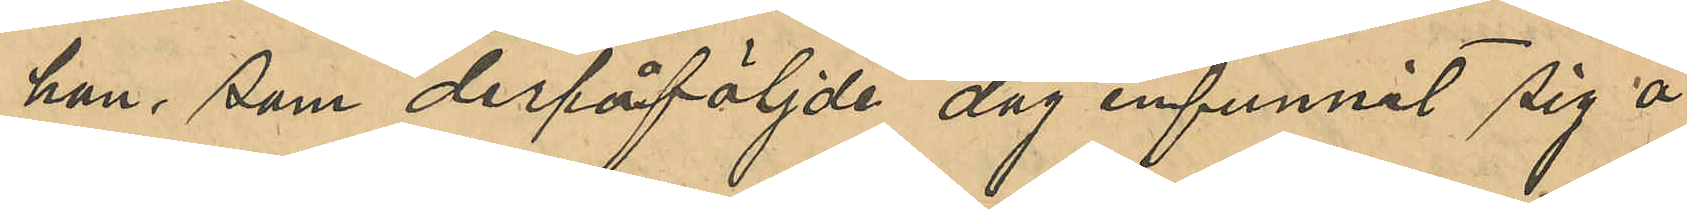han, som derpåföljde dag infunnit sig å
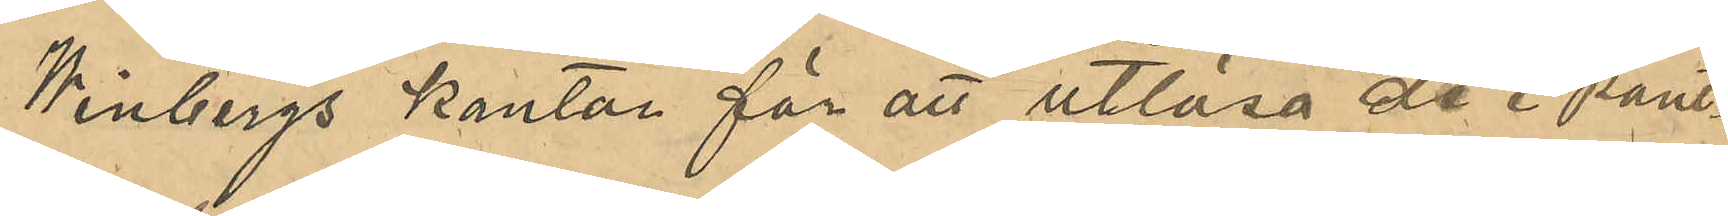Winbergs kontor för att utlösa de i pant¬
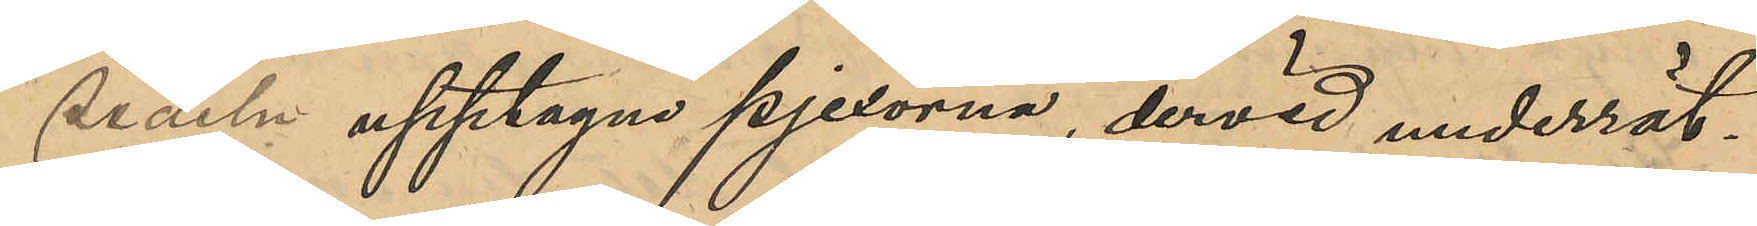sedeln upptagna pjexorna, dervid underrät¬
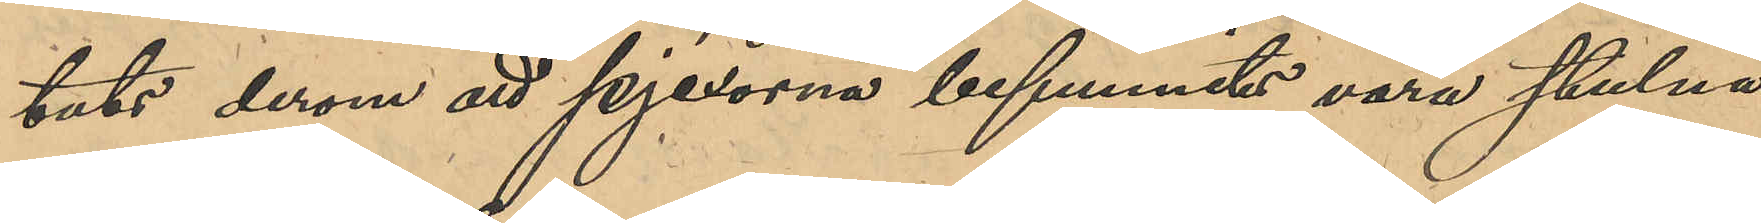tats derom att pjexorna befunnits vara stulna
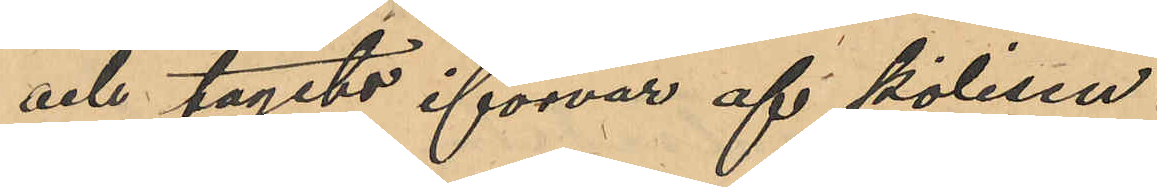och tagits iförvar af polisen.
